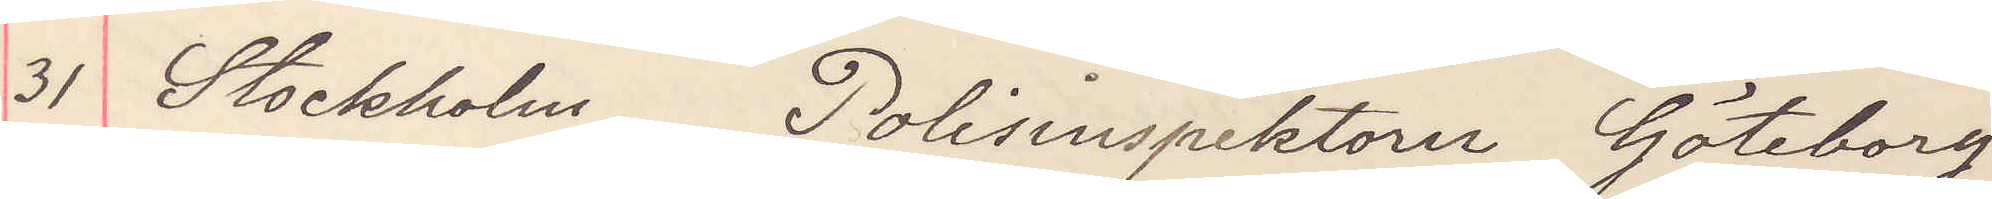31 Stockholm Polisinspektorn Göteborg
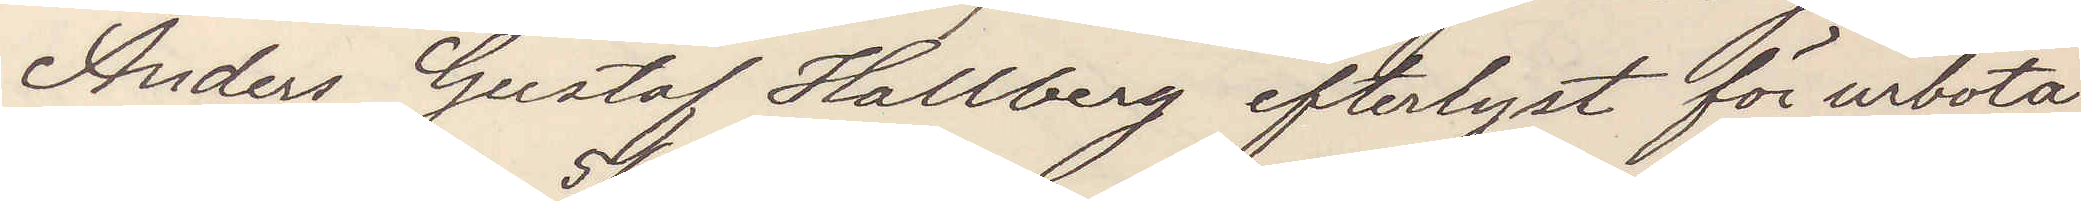Anders Gustaf Hallberg efterlyst för urbota
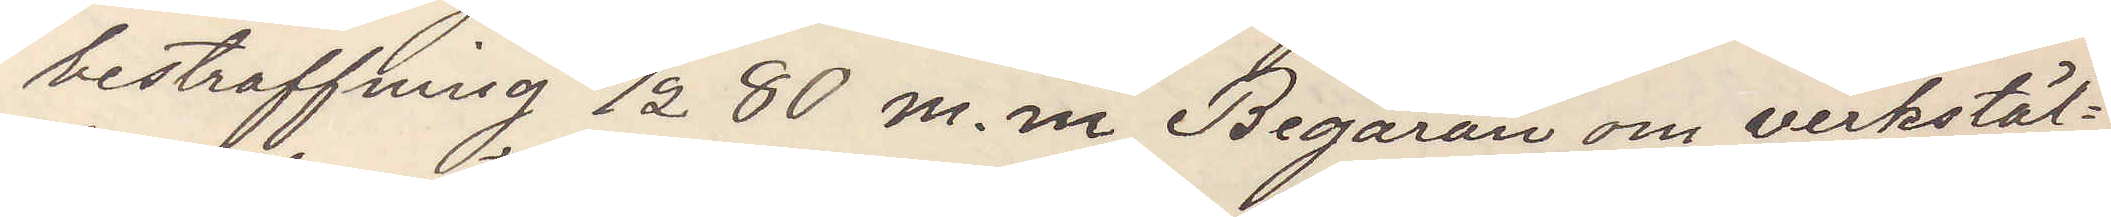bestraffning 5/2 80 m. m Begäran om verkstäl¬
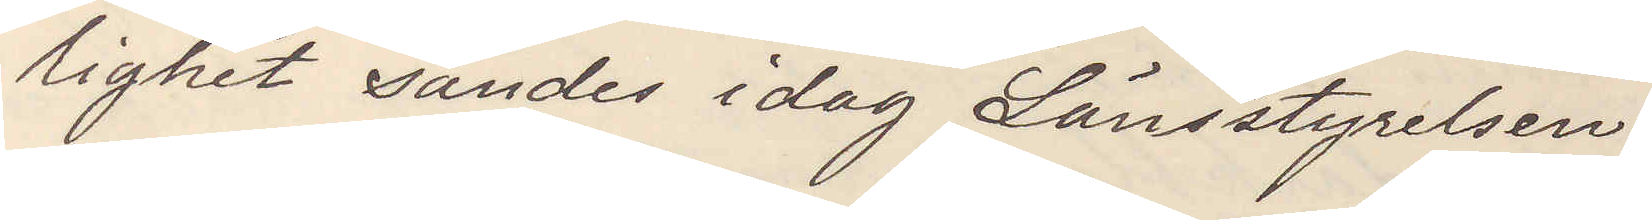lighet sändes idag Länsstyrelsen.
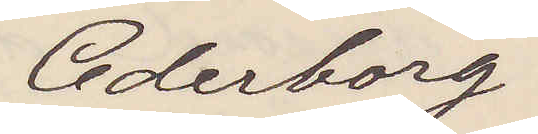Cederborg.
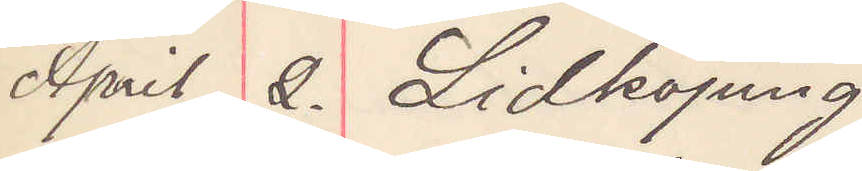April 2. Lidköping
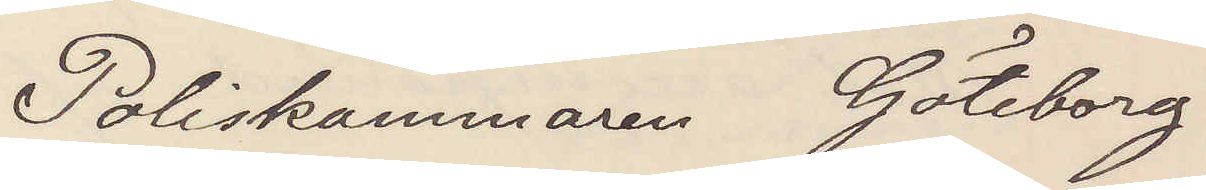Poliskammaren Göteborg
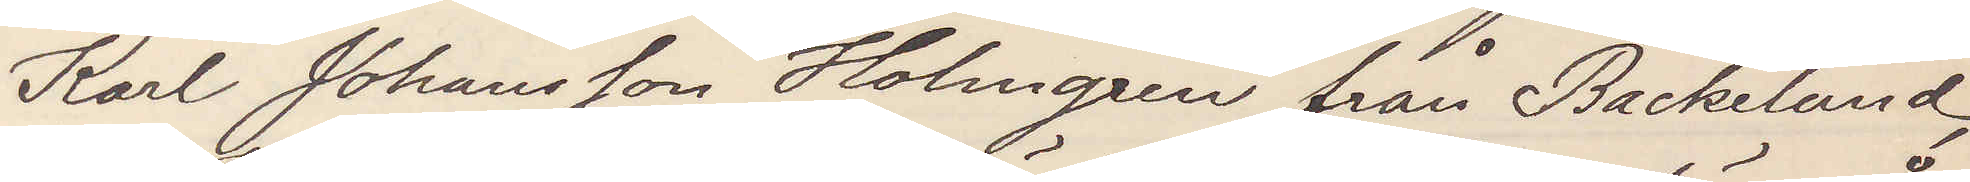Karl Johansson Holmgren från Backelund
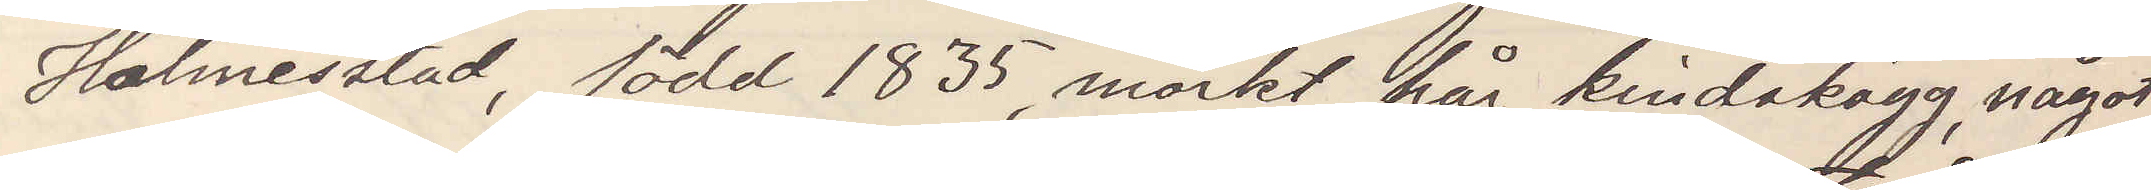Holmestad, född 1835, mörkt hår kindskägg, något
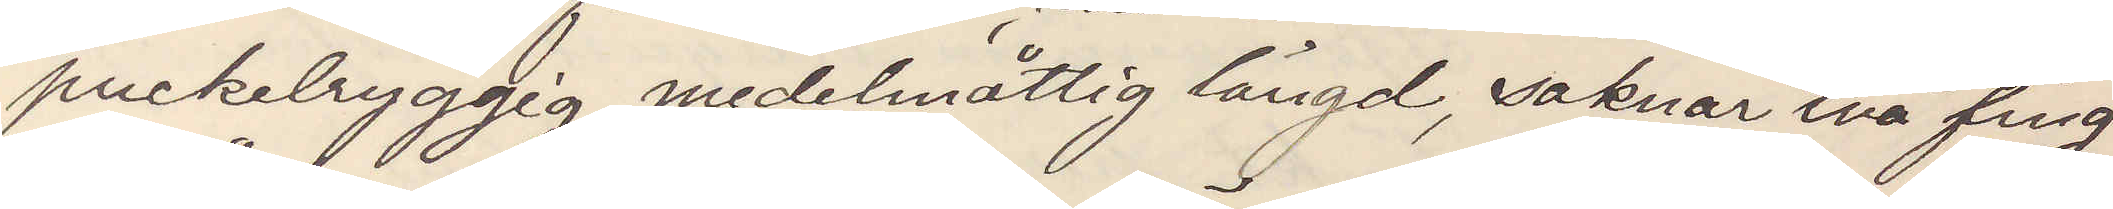puckelryggig, medelmåttig längd, saknar två fing¬
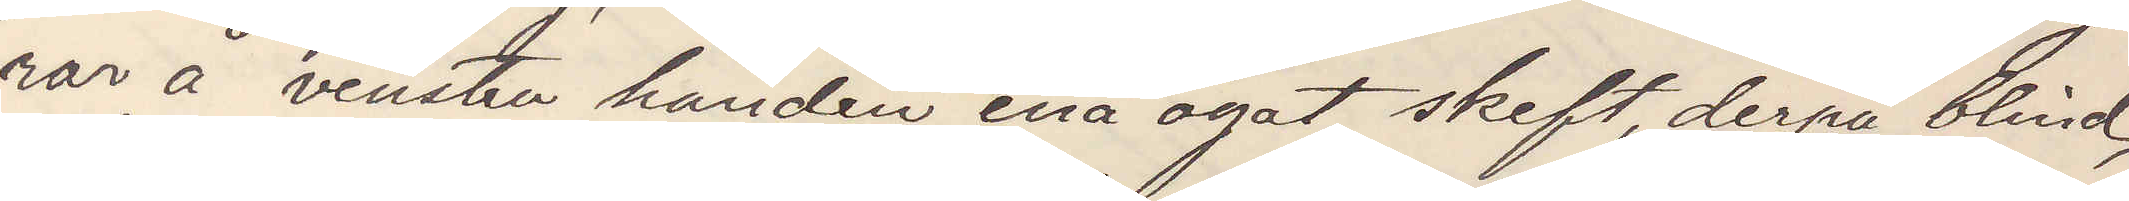rar å venstra handen ena ögat skeft derpå blind
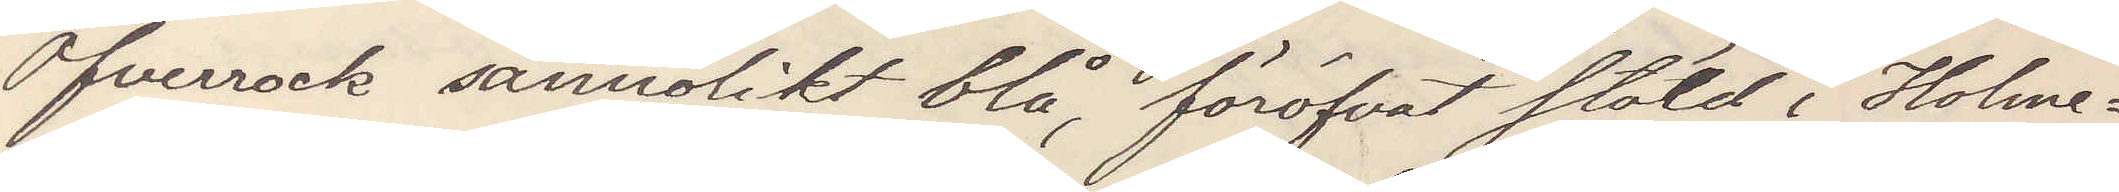Öfverrock sannolikt blå föröfvat stöld i Holme¬
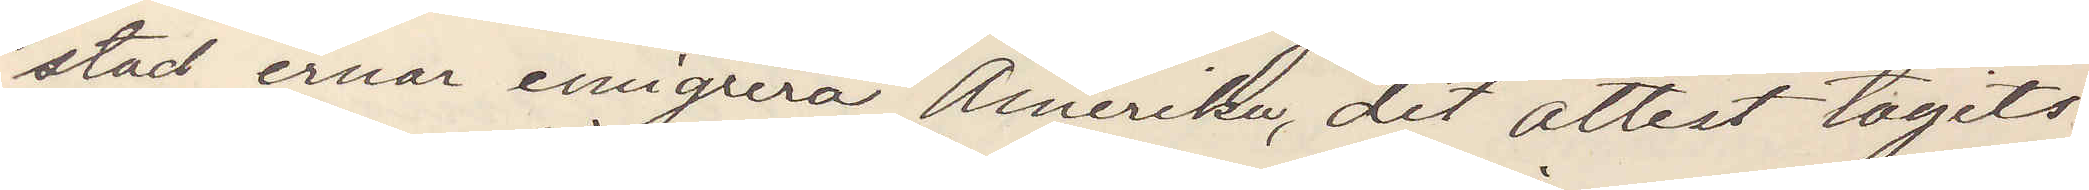stad, ernar emigrera Amerika, dit attest tagits.
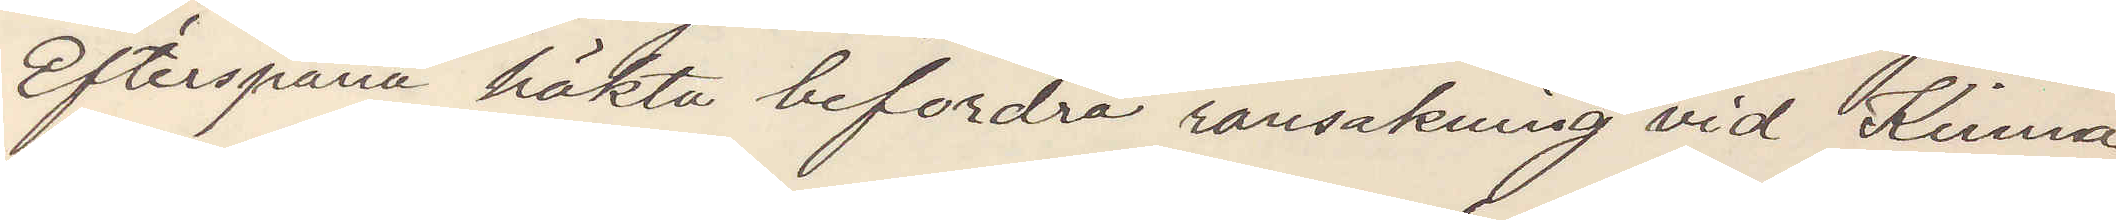Efterspana häkta befordra ransakning vid Kinna
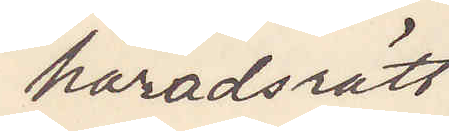häradsrätt
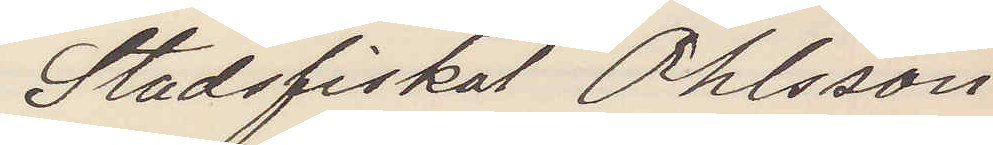Stadsfiskal Ohlsson
